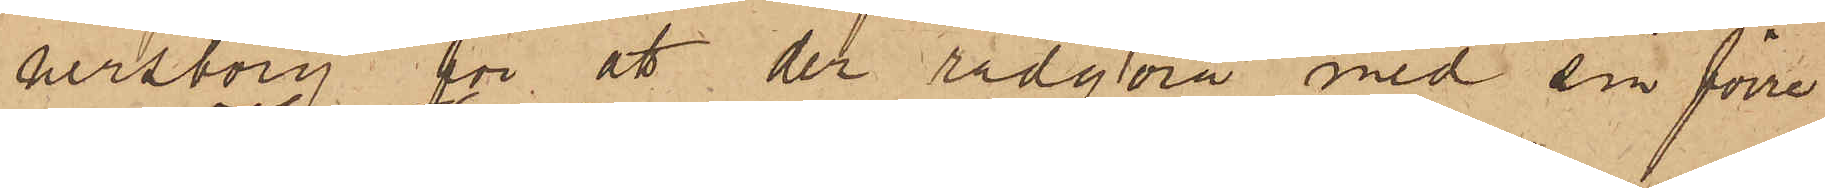nersborg för att der rådgöra med sin förre
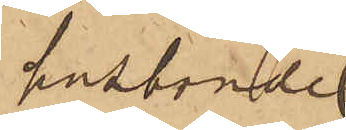husbonde
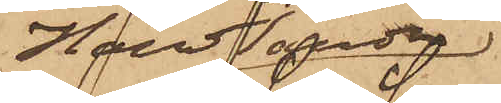Handlanden
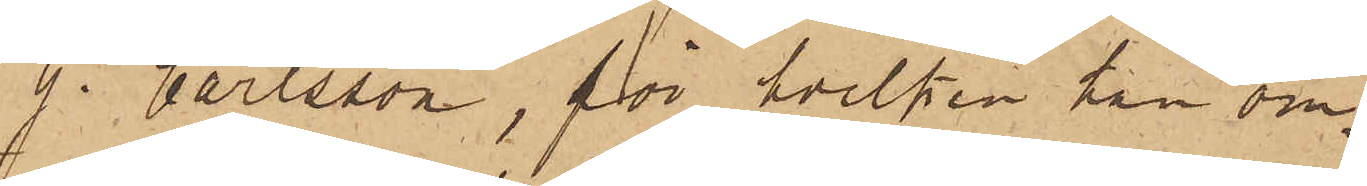G. Carlsson, för hvilken han om¬
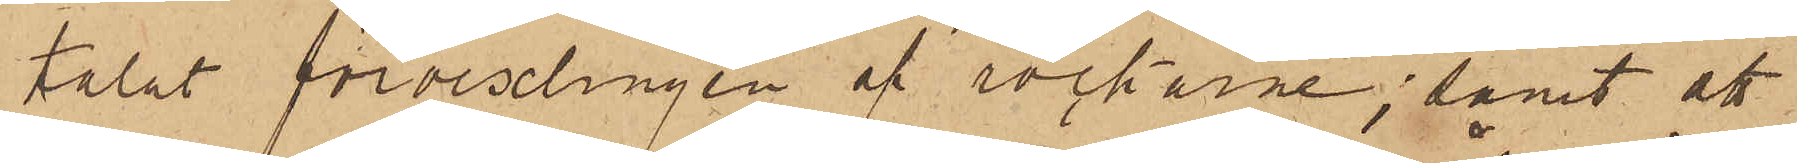talat förvexlingen af rockarne; samt att
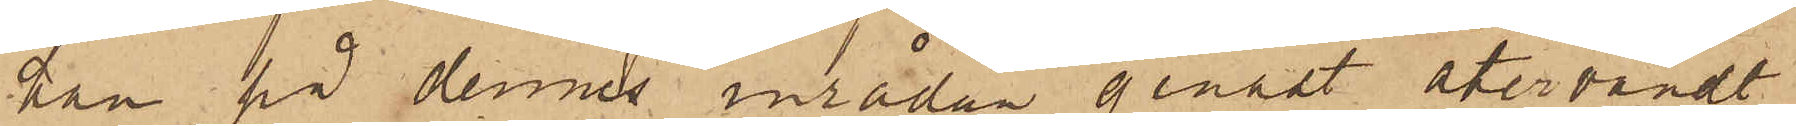han på dennes inrådan genast återvändt
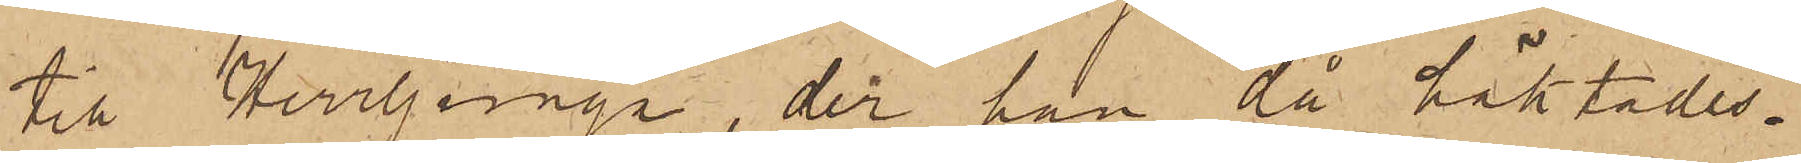till Herrljunga, der han då häktades.
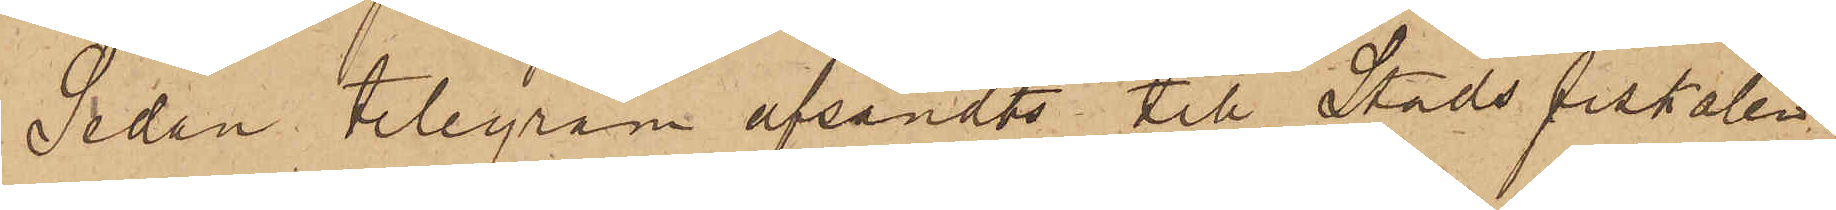Sedan telegram afsändts till Stadsfiskalen
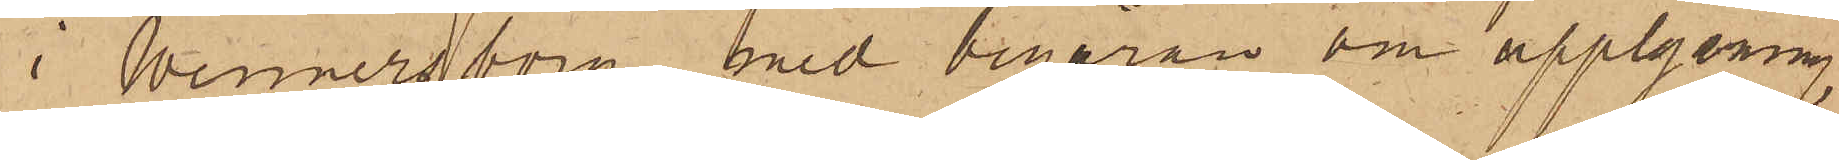i Wennersborg med begäran om upplysning
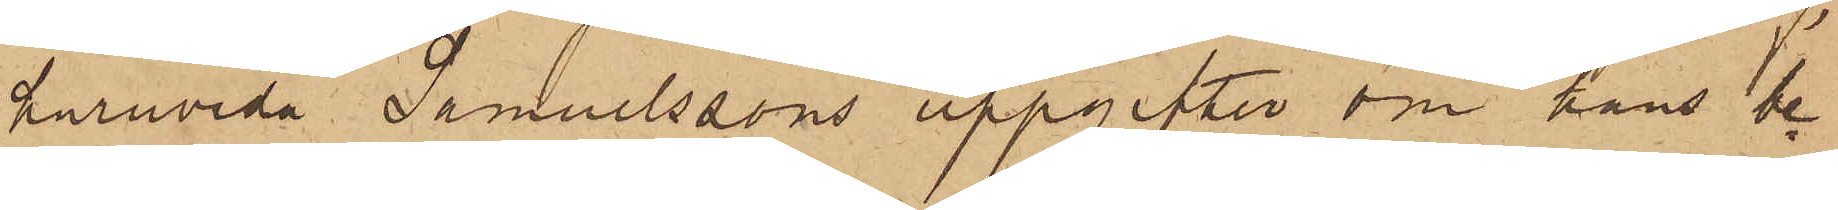huruvida Samuelssons uppgifter om hans be¬
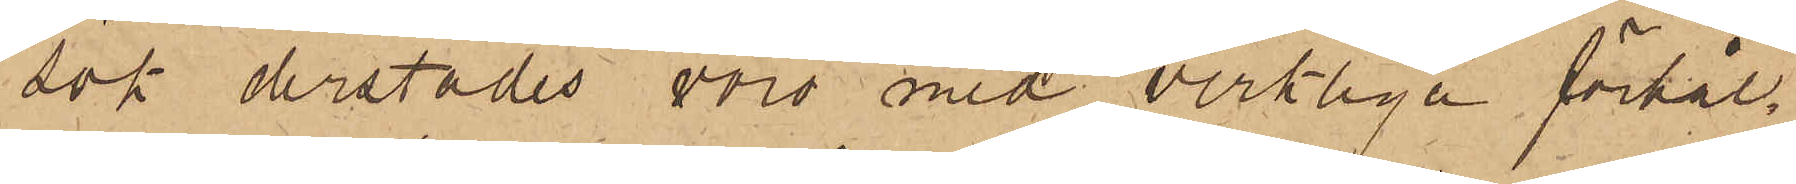sök derstädes voro med verkliga förhål¬
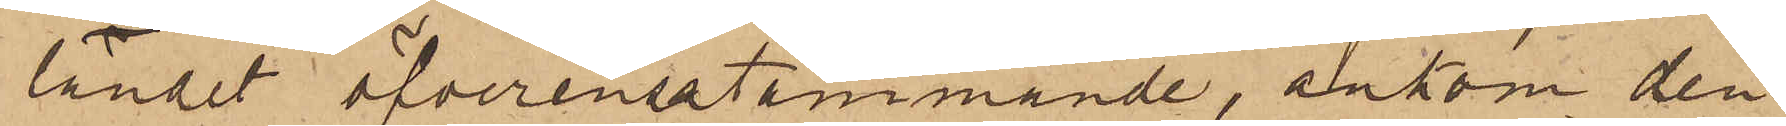landet öfverensstämmande, ankom den
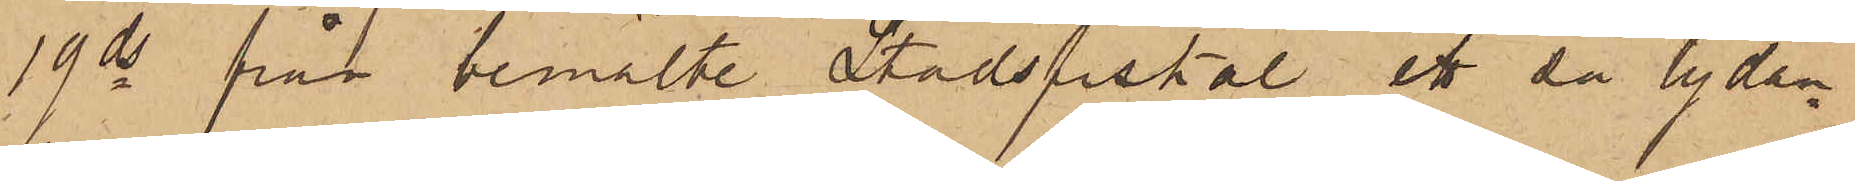19 ds från bemälde Stadsfiskal, ett så lydan¬
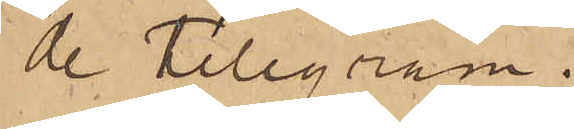de telegram.
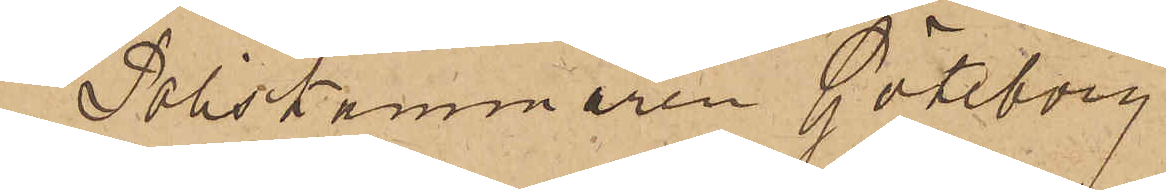"Poliskammaren Göteborg"
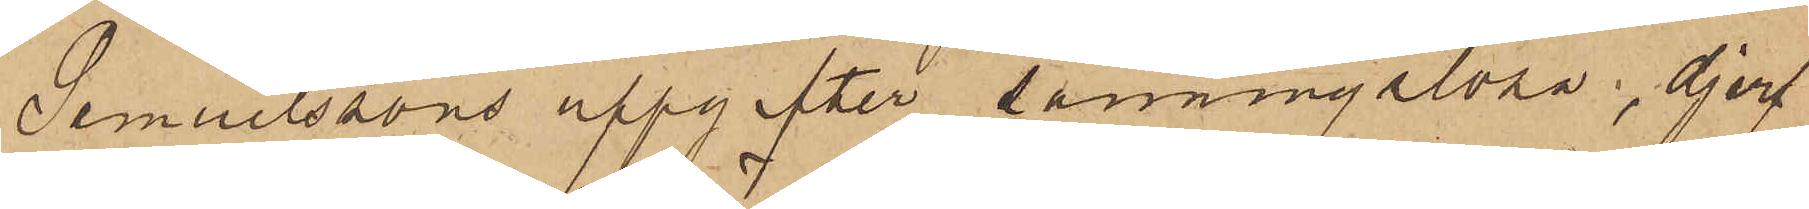Samuelssons uppgifter sanningslösa, djerf
